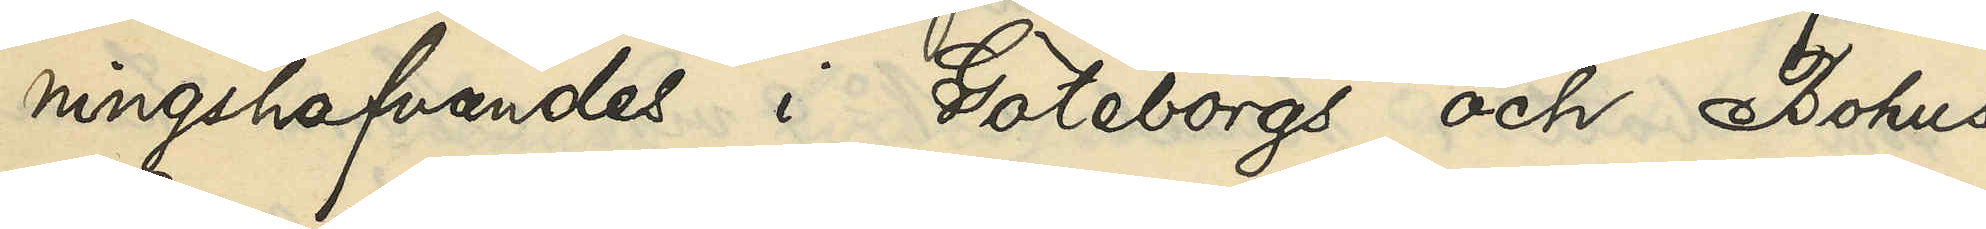ningshafvandes i Göteborgs och Bohus
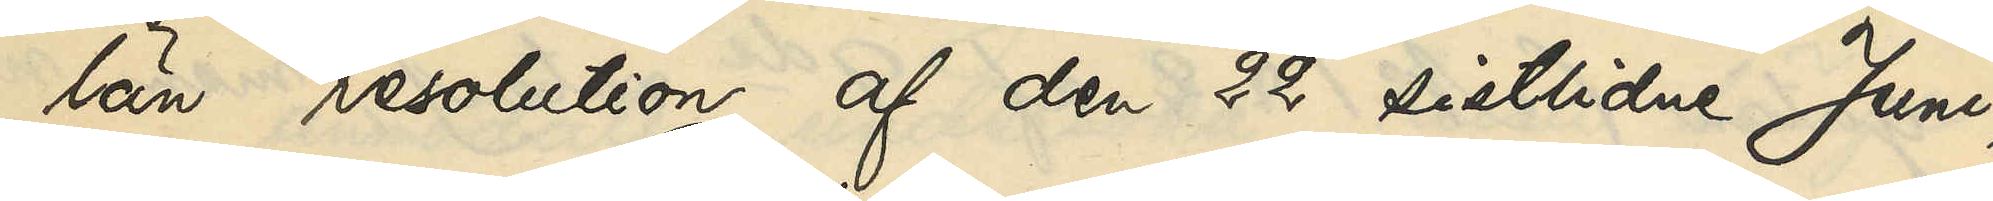län resolution af den 22 sistlidne Juni,
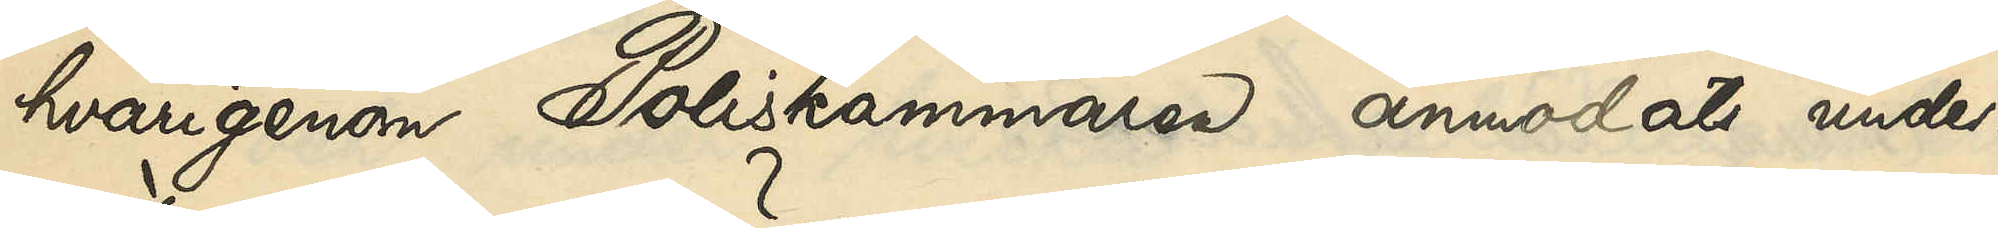hvarigenom Poliskammaren anmodats under¬
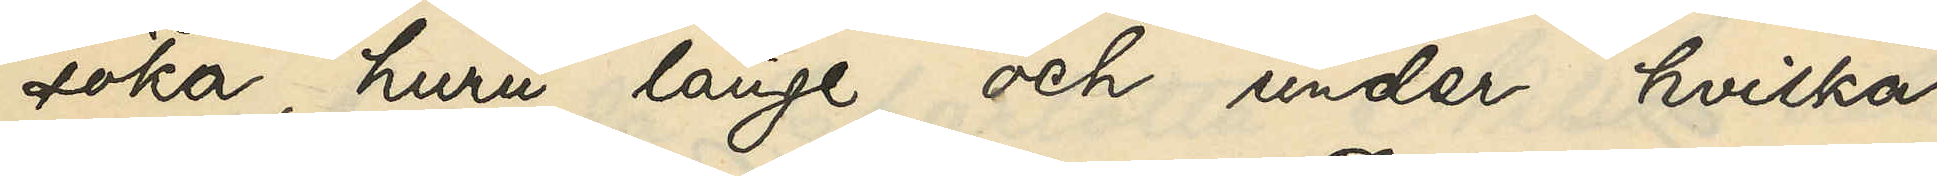söka, huru länge och under hvilka
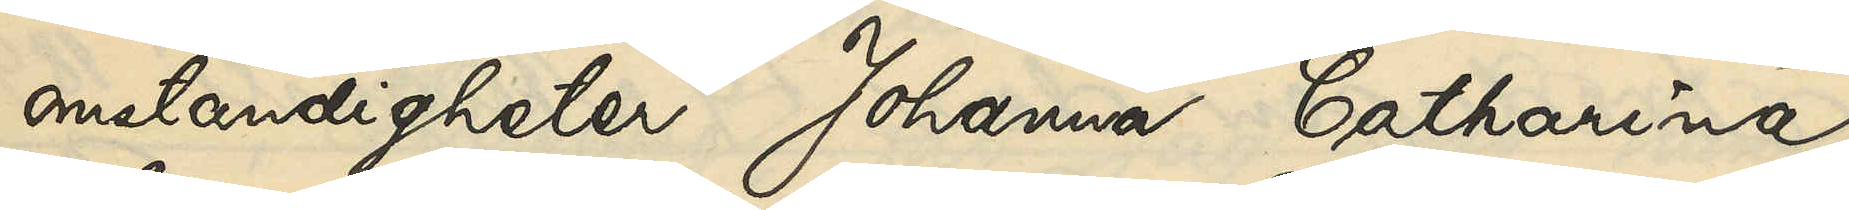omständigheter Johanna Catharina
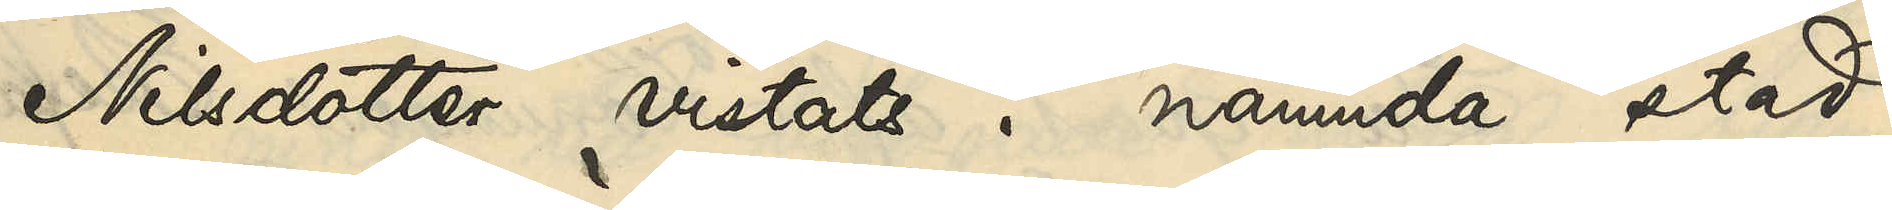Nilsdotter vistats i nämnda stad,
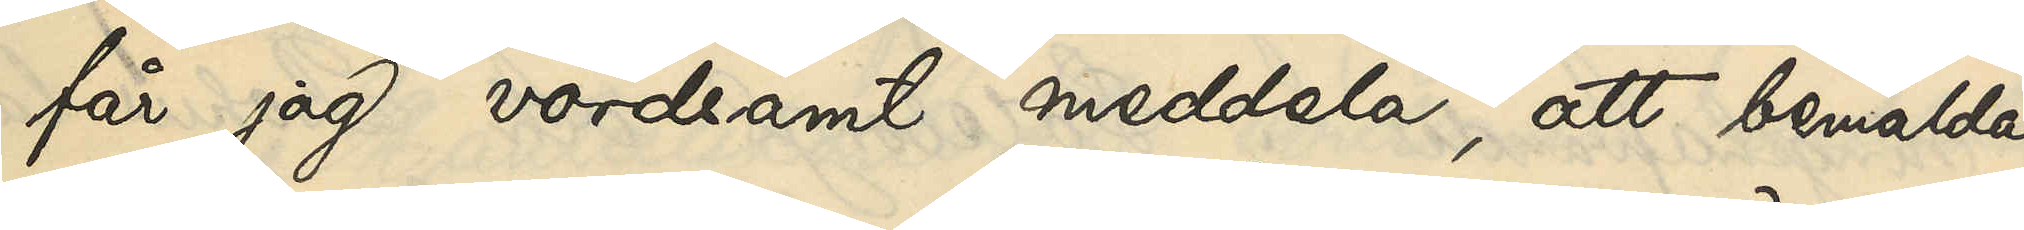får jag vördsamt meddela, att bemälda
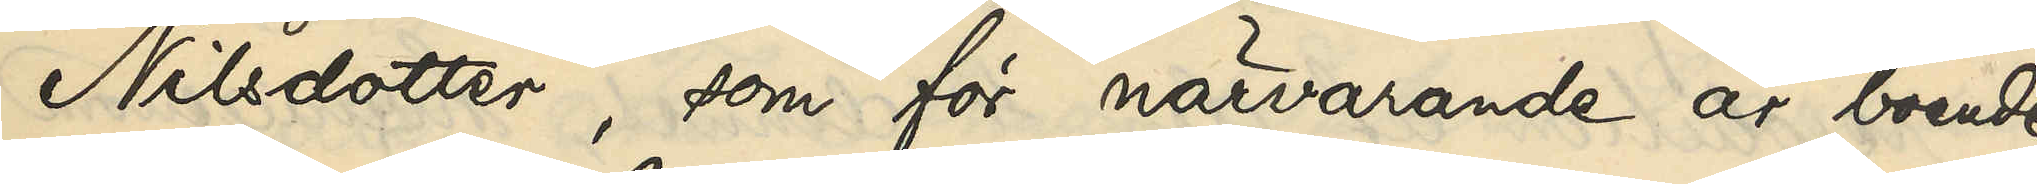Nilsdotter, som för närvarande är boende
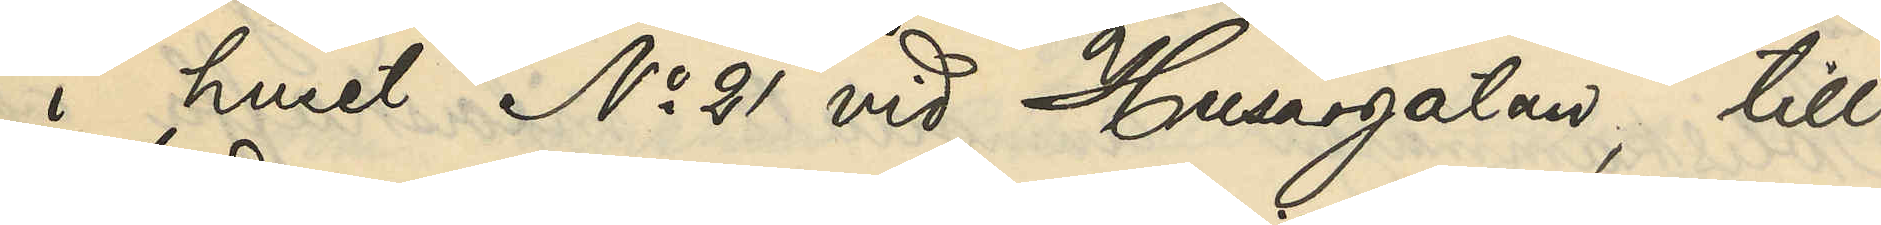i huset No 21 vid Husargatan, till
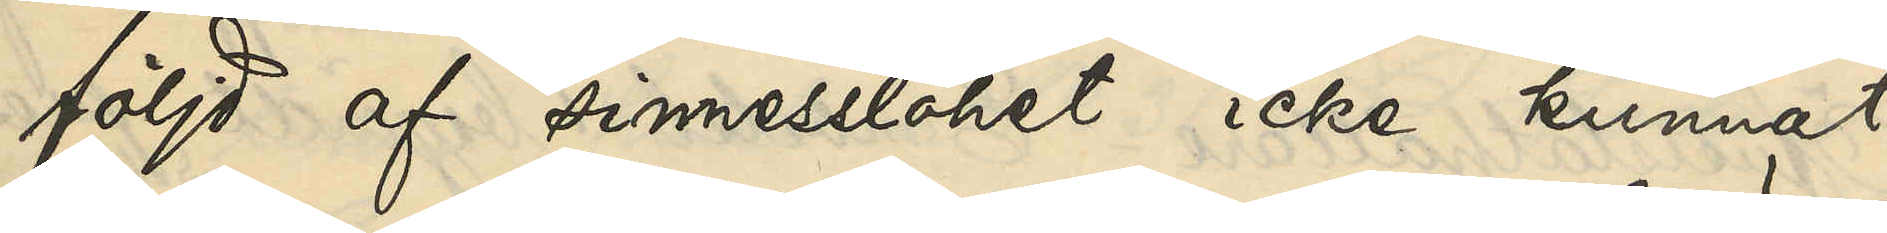följd af sinnesslöhet icke kunnat
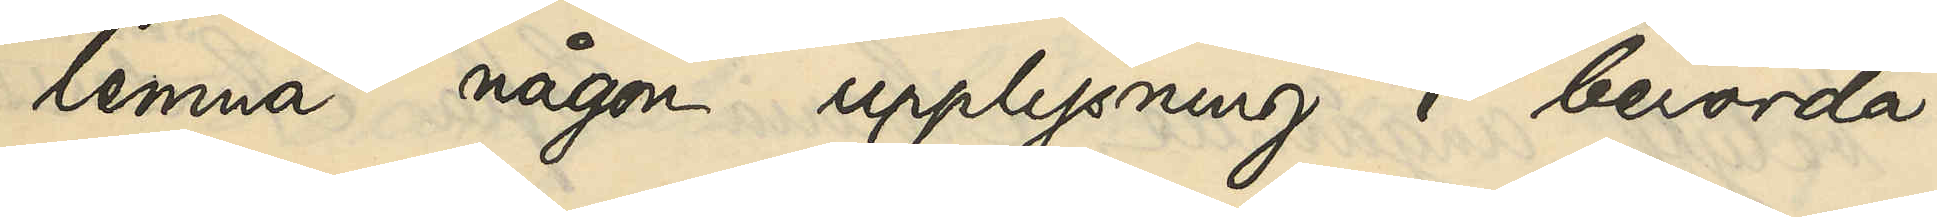lemna någon upplysning i berörda
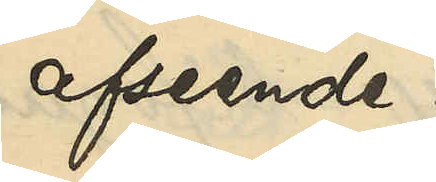afseende.
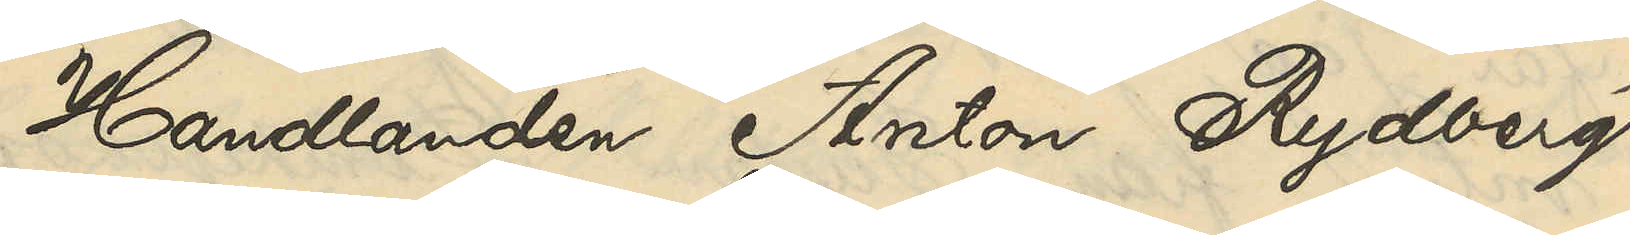Handlanden Anton Rydberg
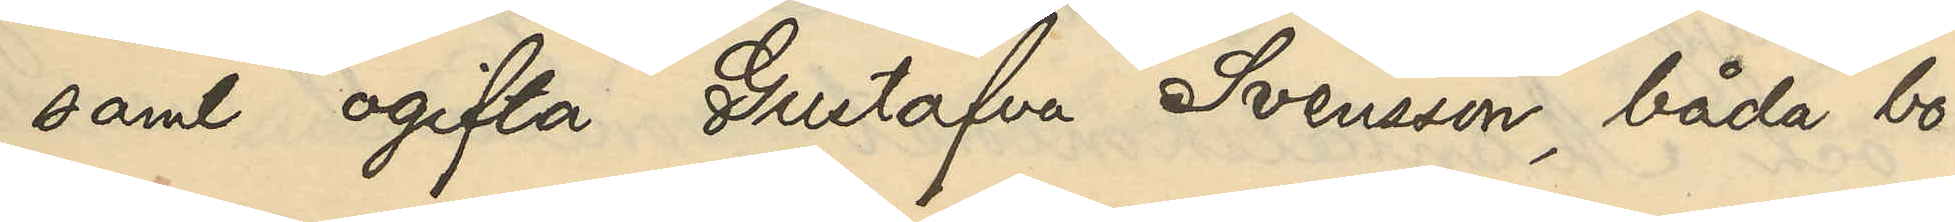samt ogifta Gustafva Svensson, båda bo¬
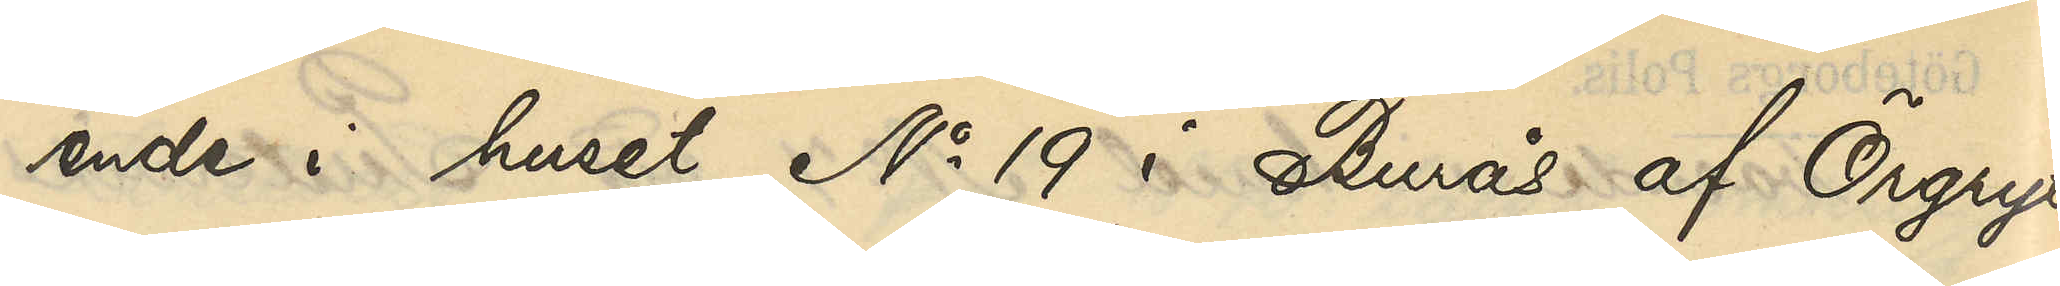ende i huset No 19 i Burås af Örgryte
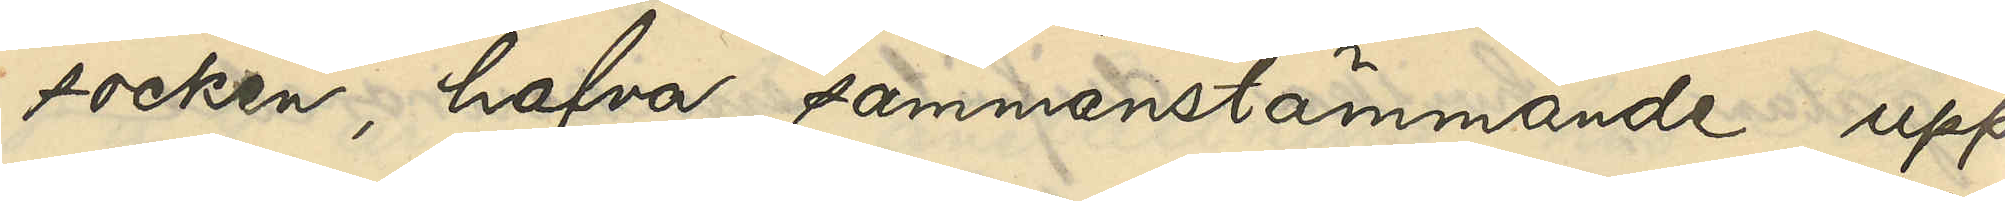socken, hafva sammanstämmande upp¬
